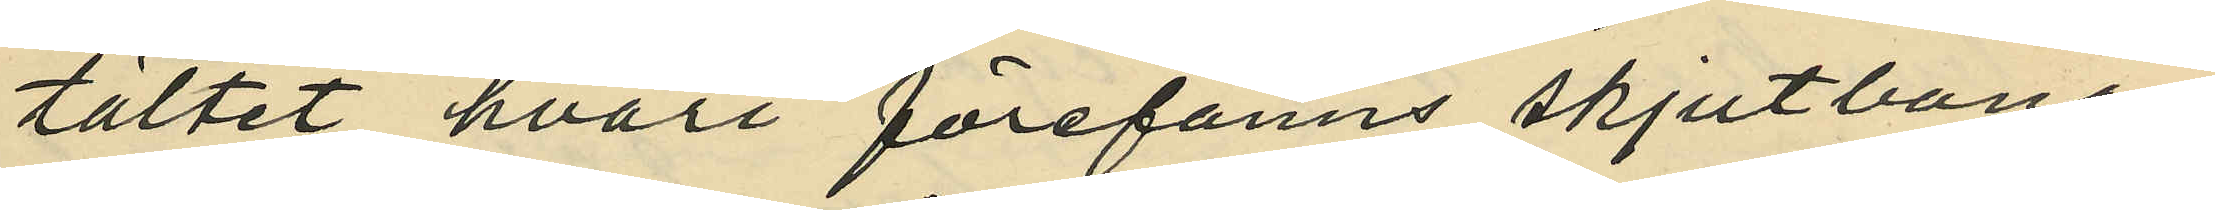tältet, hvari förefanns skjutbana;
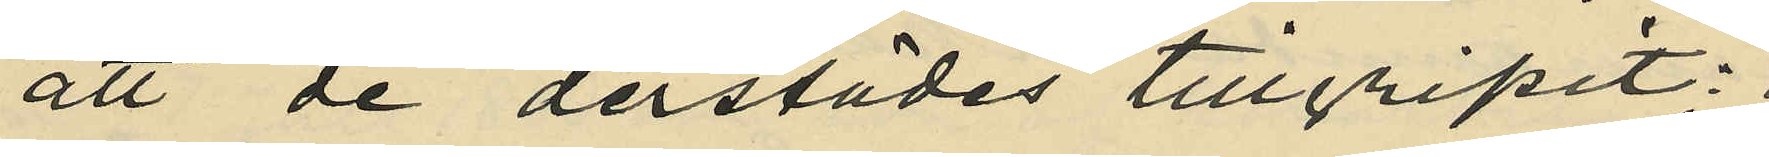att de derstädes tillgripit:
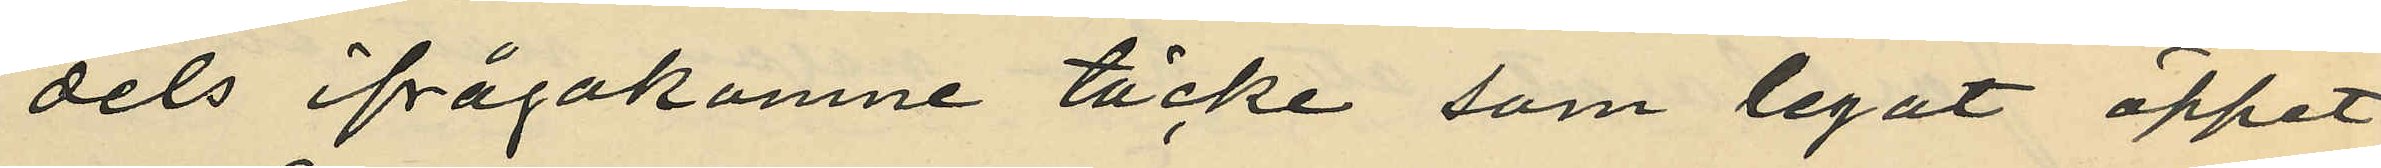dels ifrågakomne täcke som legat öppet
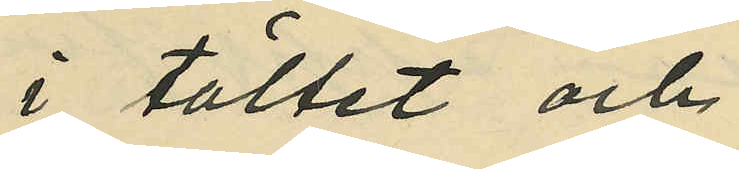i tältet och,
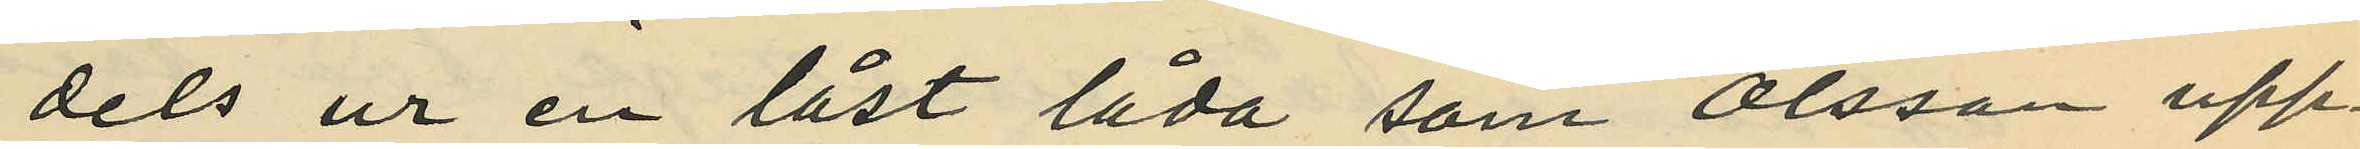dels ur en låst låda som Olsson upp¬
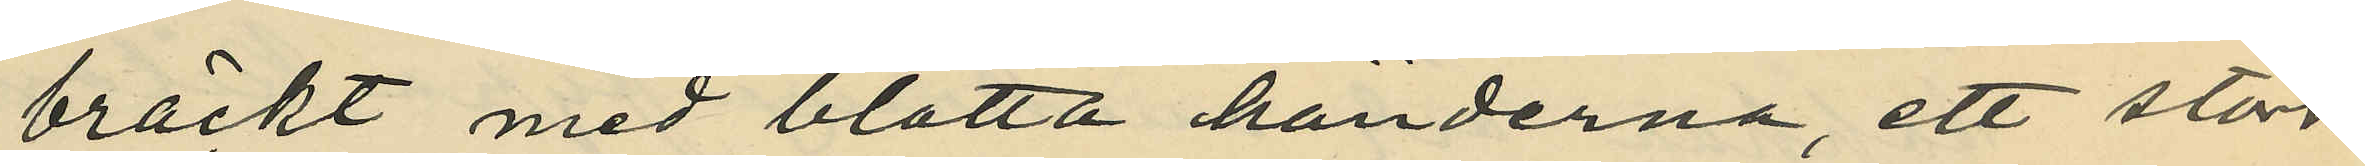bräckt med blotta händerna, ett större
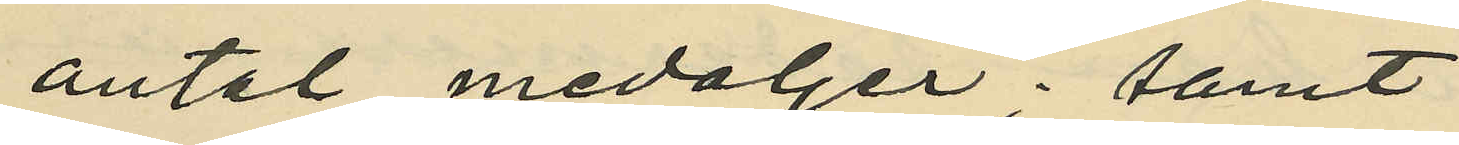antal medaljer; samt
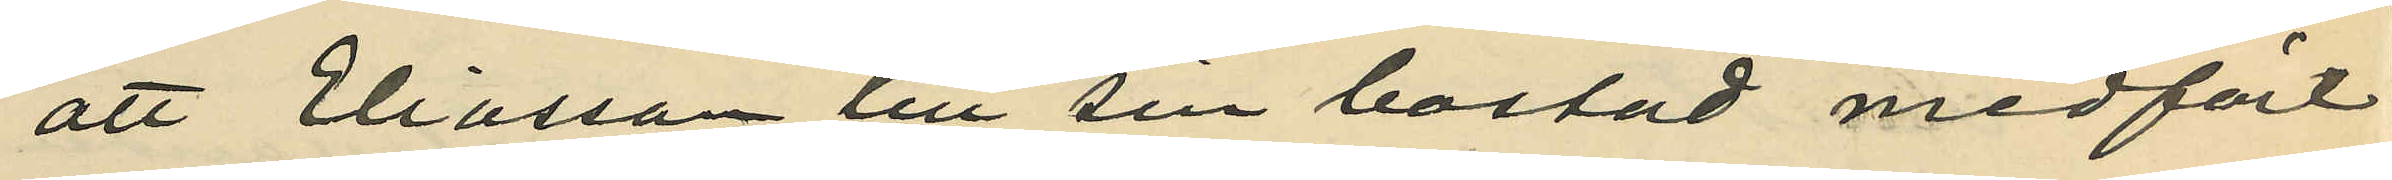att Eliasson till sin bostad medfört
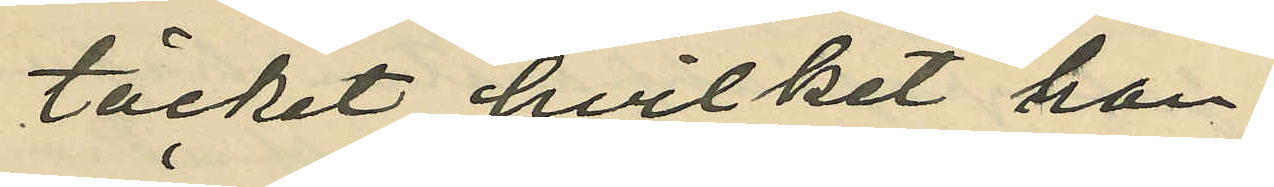täcket, hvilket han
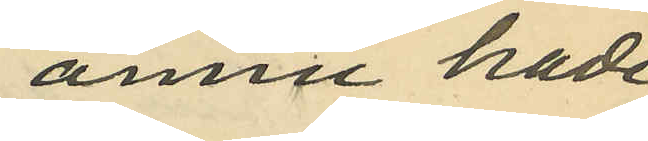ännu hade
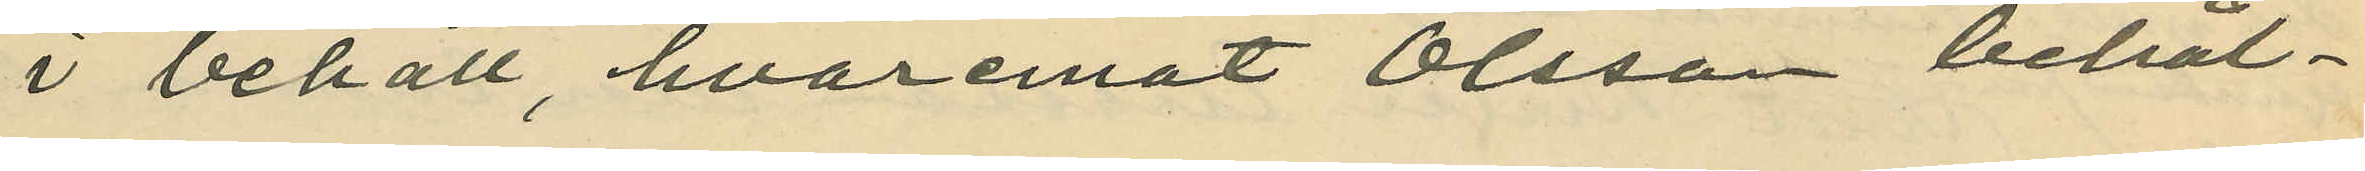i behåll, hvaremot Olsson behål¬
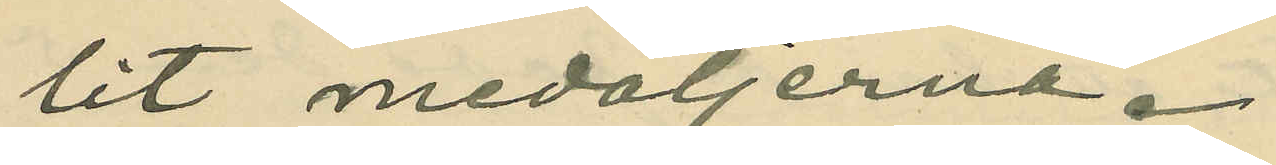lit medaljerna.
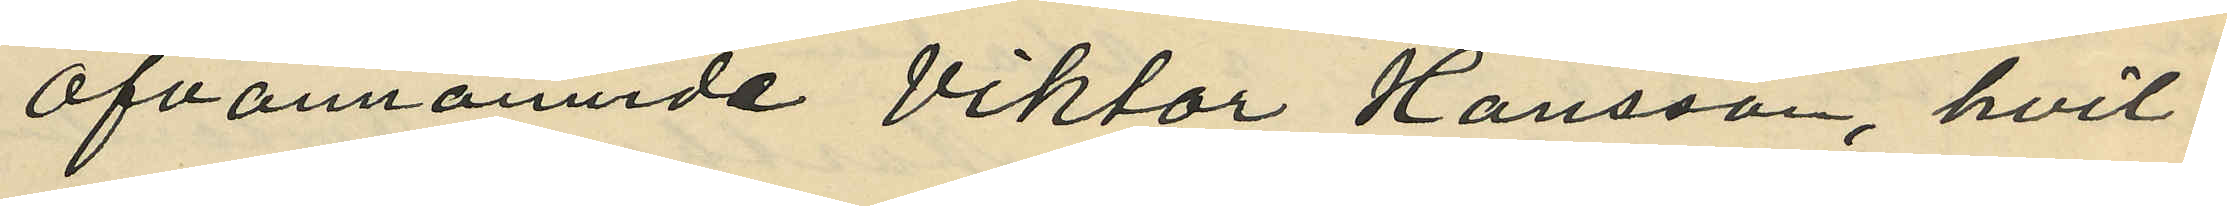Ofvannämnde Viktor Hansson, hvil¬
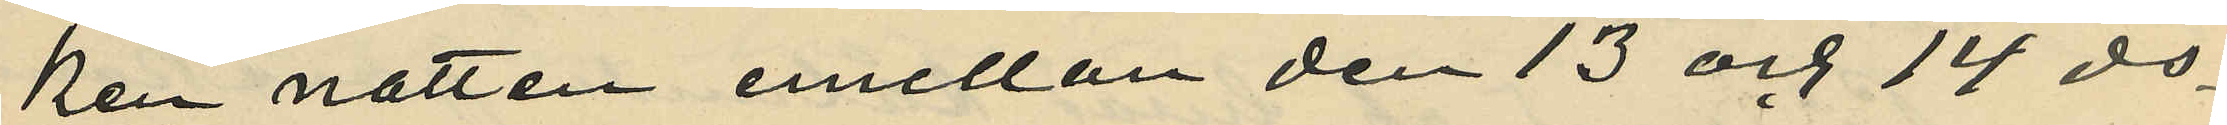ken natten emellan den 13 och 14 ds
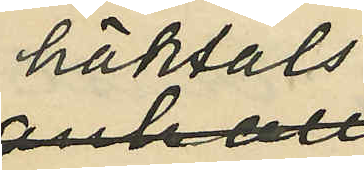häktats
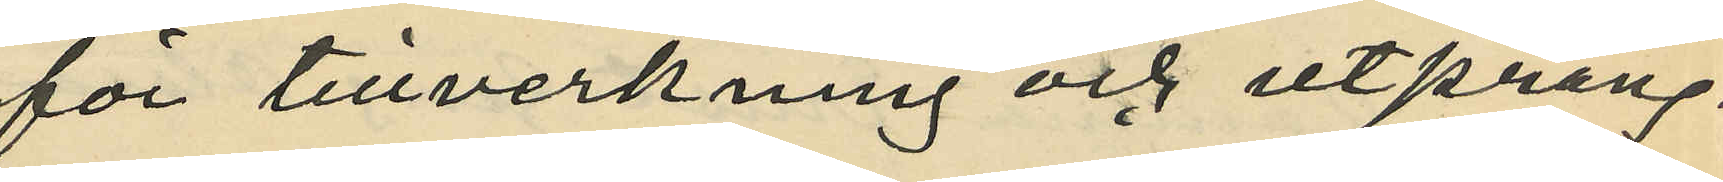för tillverkning och utprång¬
